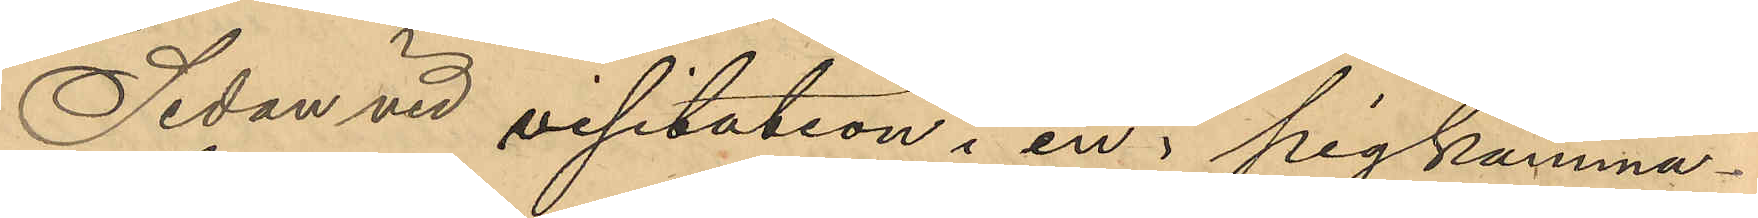Sedan vid visitation i en å pigkamma¬
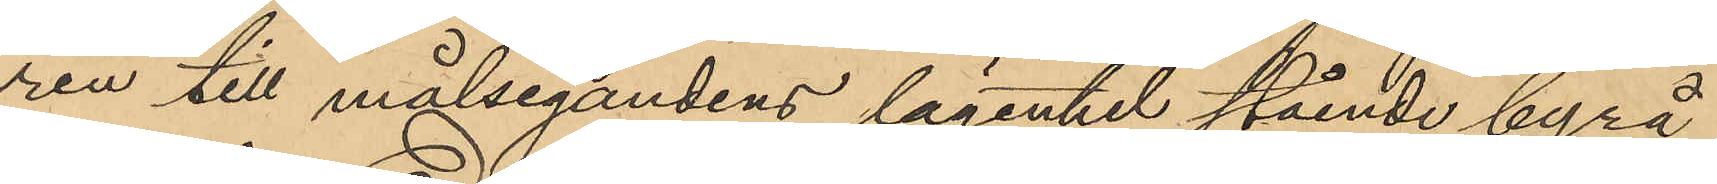ren till målsegandens lägenhet stående byrå
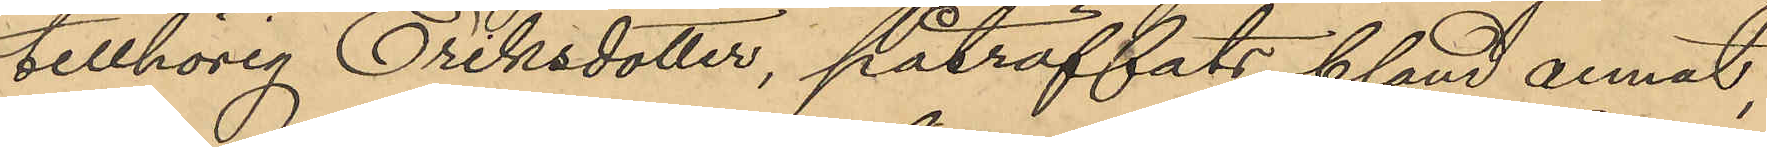tillhörig Eriksdotter, påträffats bland annat,
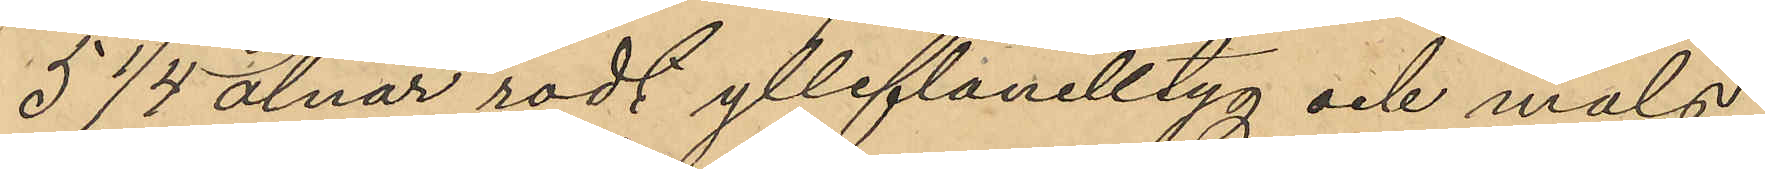5 1/4 alnar rödt ylleflanelltyg och måls-
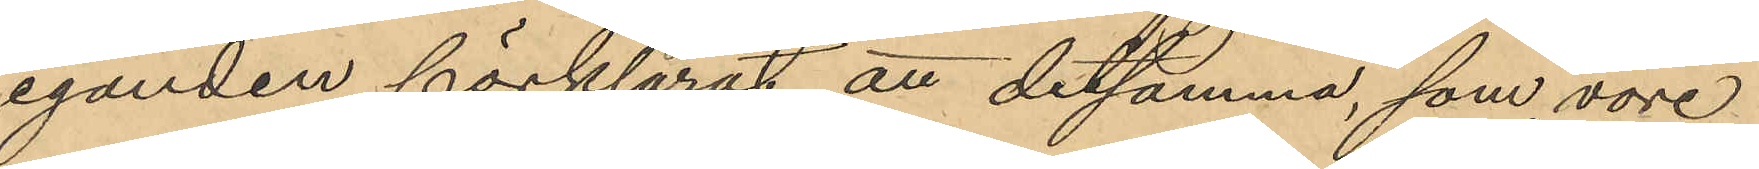eganden förklarat att detsamma, som vore
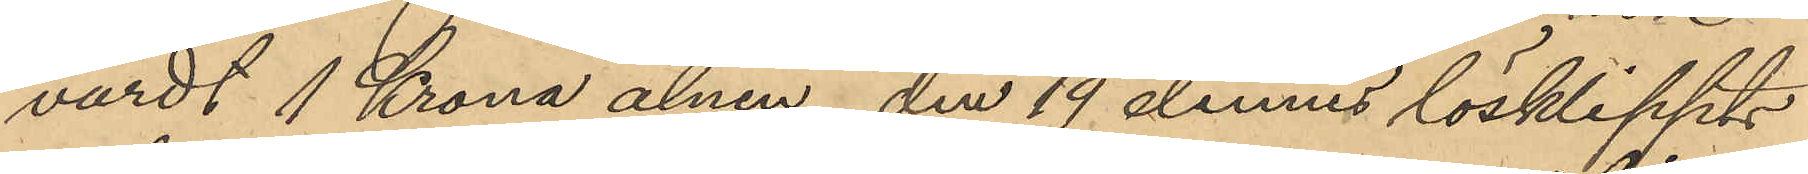värdt 1 Krona alnen, den 19 dennes lösklippts
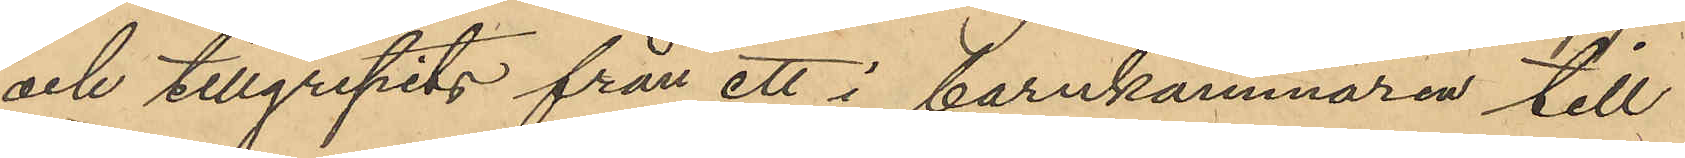och tillgripits från ett i barnkammaren till
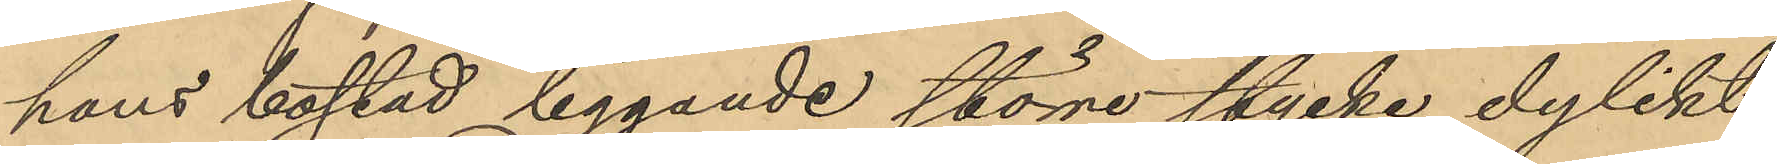hans bostad liggande större stycke dylikt
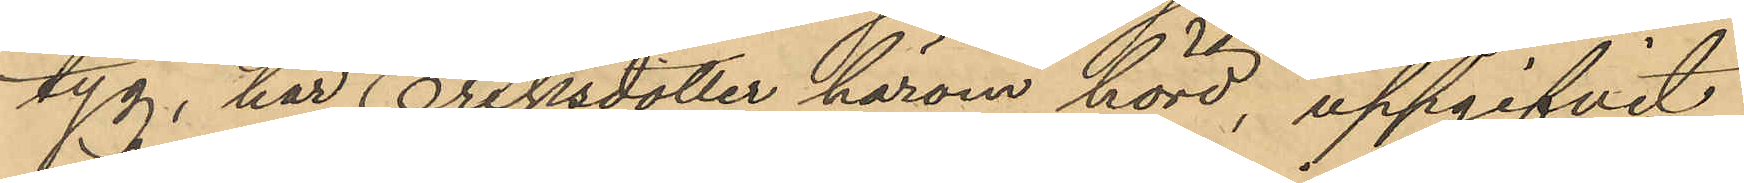tyg, har Eriksdotter härom hörd, uppgifvit
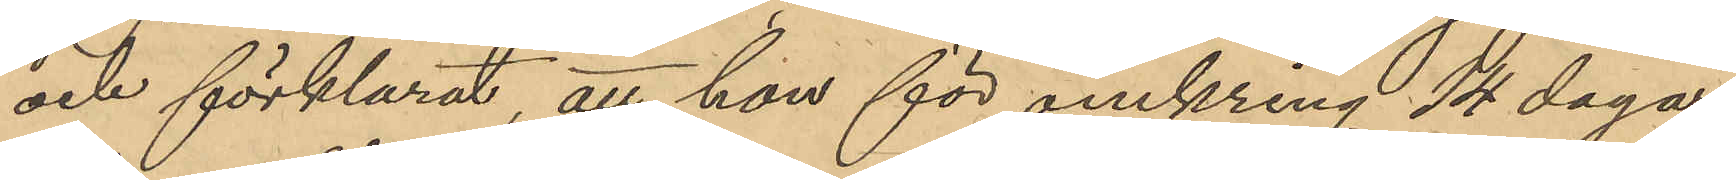och förklarat, att hon för omkring 14 dagar
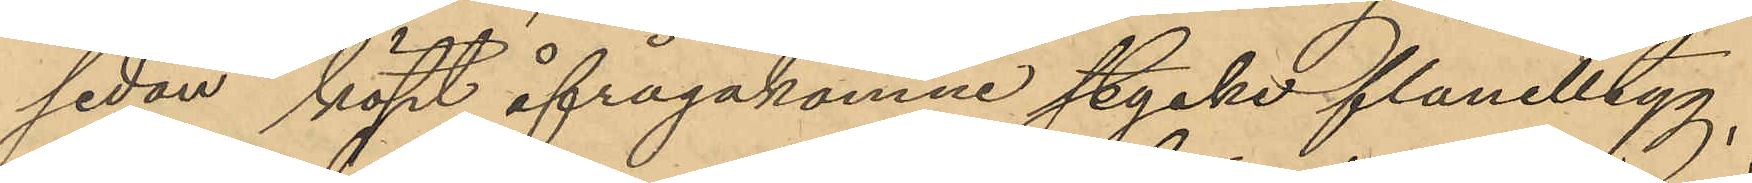sedan köpt åfrågakomne stycke flanelstyg,
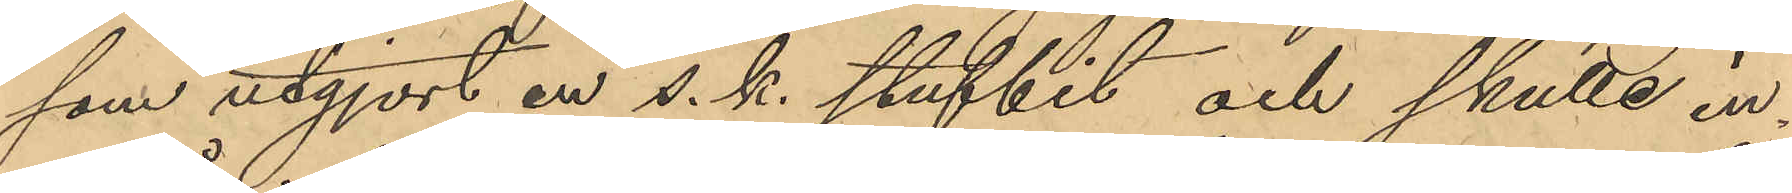som utgjort en s. k. stufbit och skulle in¬
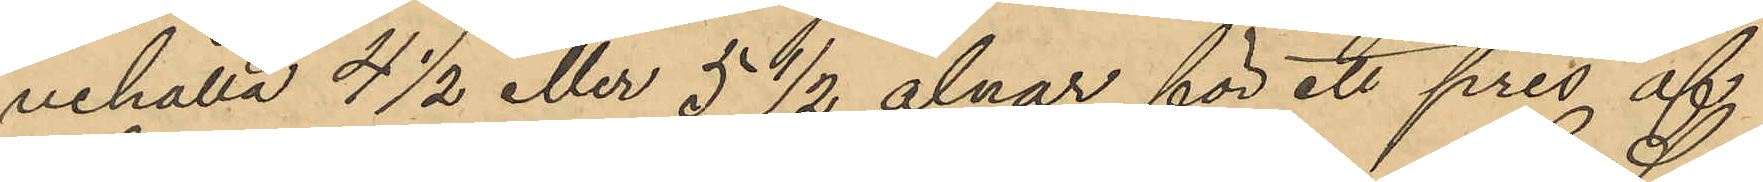nehålla 4 1/2 eller 5 ½ alnar för ett pris af
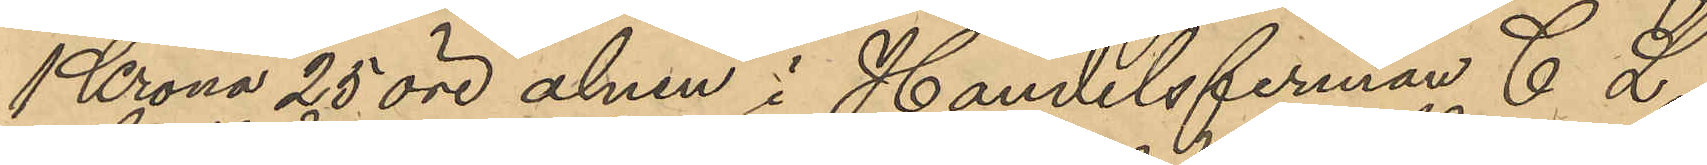1 Krona 25 öre alnen i Handelsfirman C L
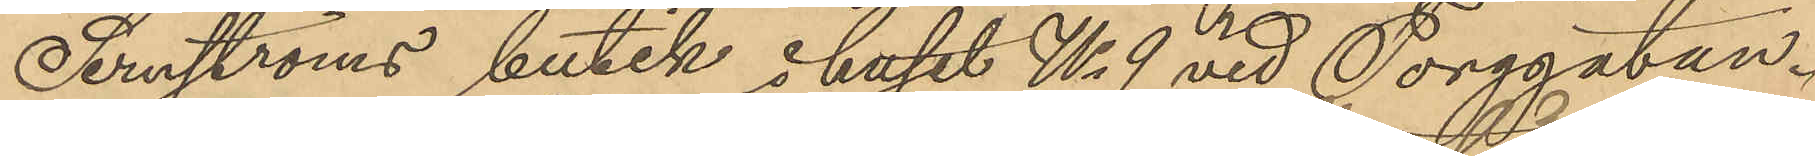Sernströms butik i huset No 9 vid Torggatan.
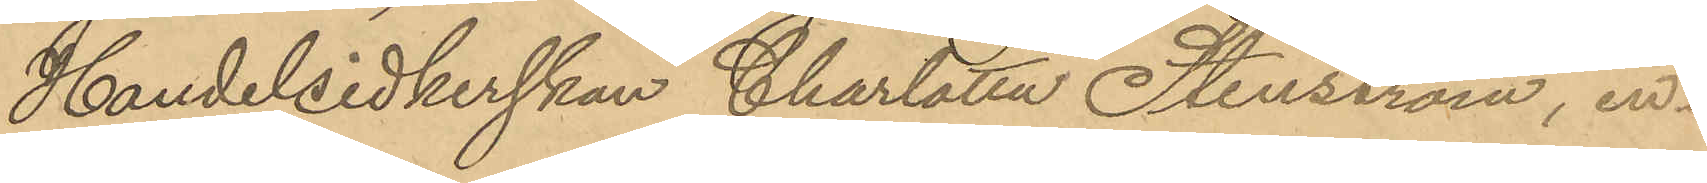Handelsidkerskan Charlotta Stenström, in¬
